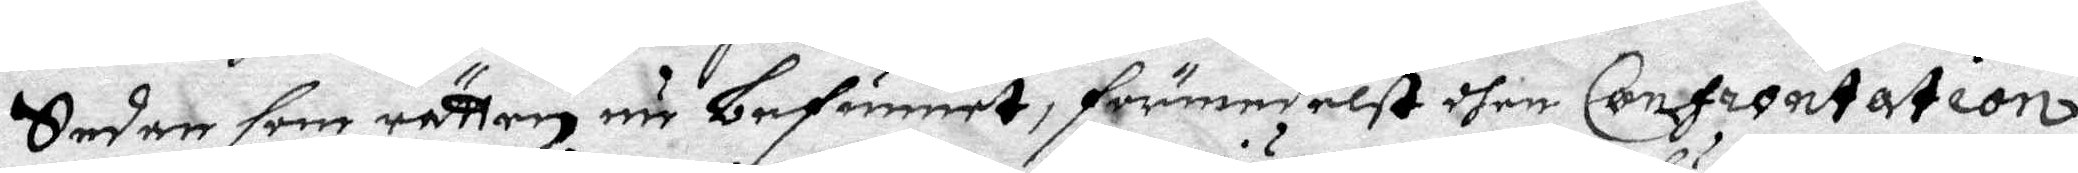Sedan som rätten nu befunnet, förmedelst dhen Confrontation
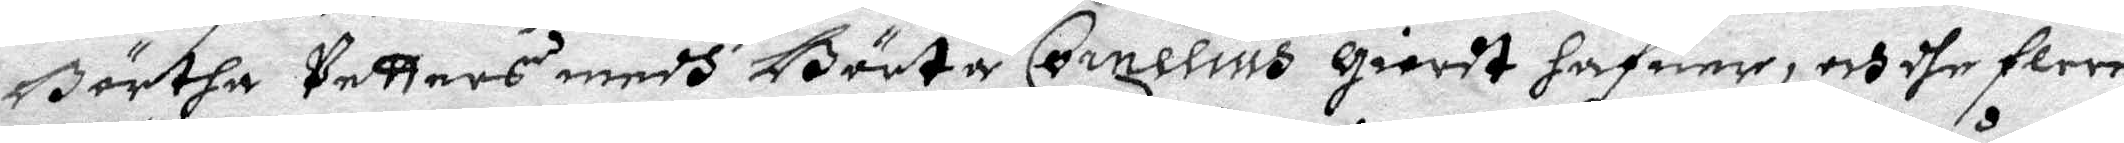Börtha Petters medh Börta Cornelius giordt hafuer, och dhe flere
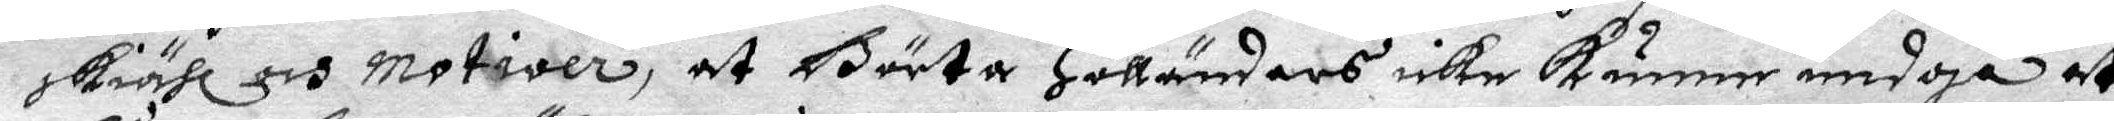skiähl och motiver, at Börta Holländars icke kunne undgå at
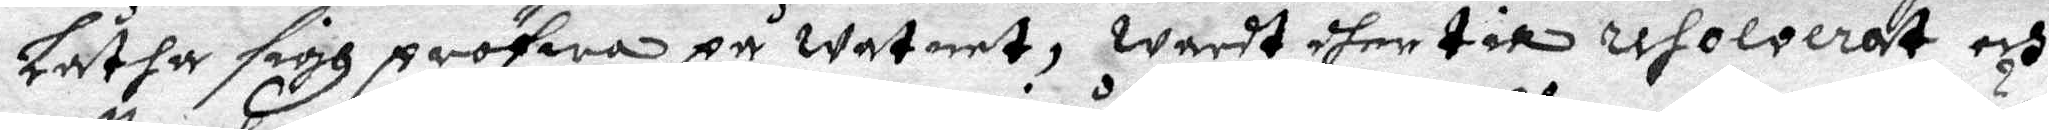Låtha sigh pröfwa på watnet, wardt dher till resolverat och
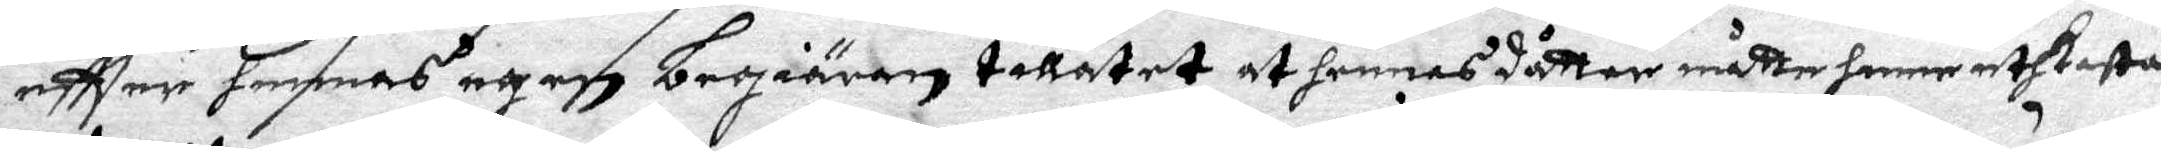eftter hennes egen begiäran tillåtet at hennes dåtter måtte henne uthkasta.
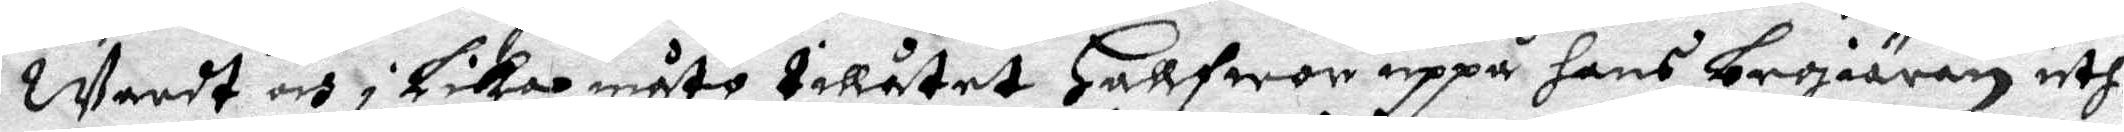wardt och i Lika måto tillåtet Hallfwor uppå hans begiäran uth¬
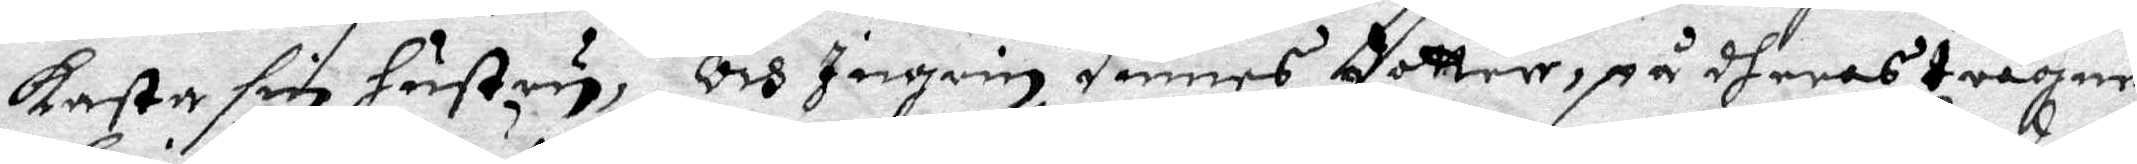kasta sin hustru, Och Ingrin Dimes dotter, på dheras trägne
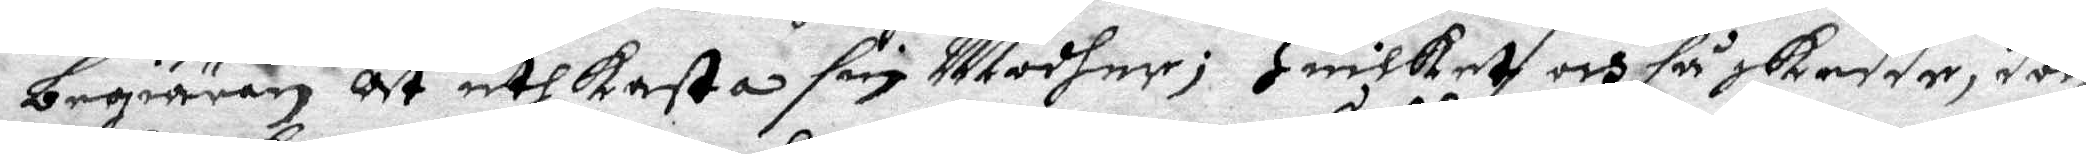begiäran at uthkasta sin Modher; Huilket och så skedde, doch
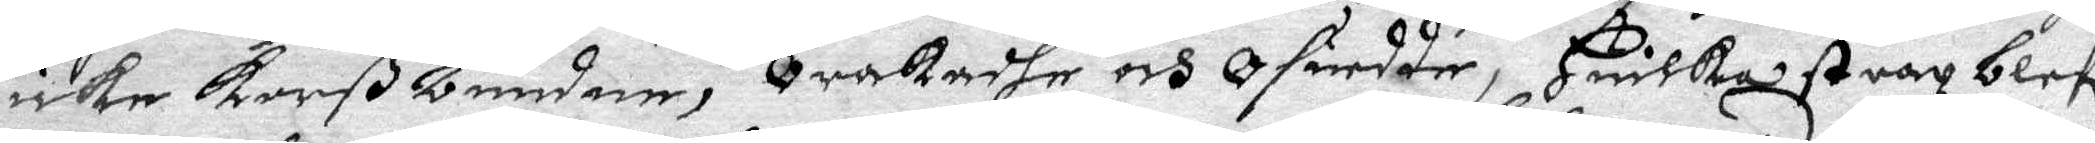icke korßbunden, Orakadhe och Osuedde, Huilket strax blefe
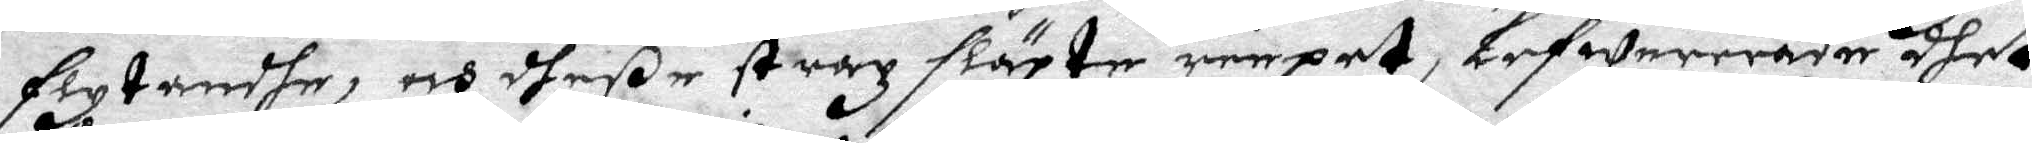flytandhe, och dheße strax släpte renpet, Lefwererade dhet
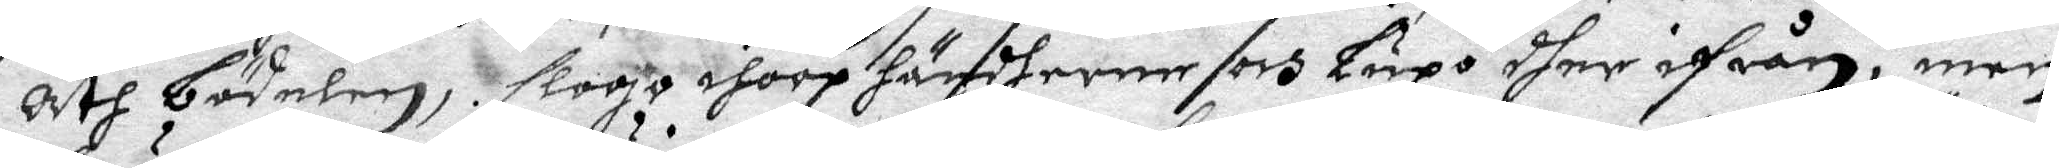åth bödelen, slogo ihoop händherne och Lupo dher ifrån, men
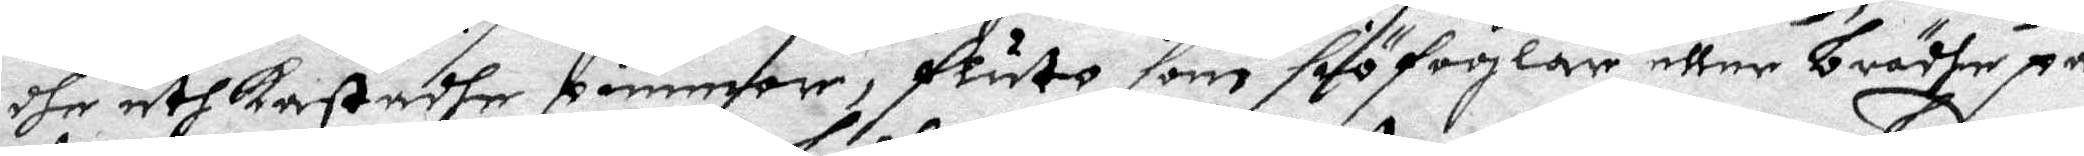dhe uthkastadhe quinnor fluto som siöfoglar eller brädhe på
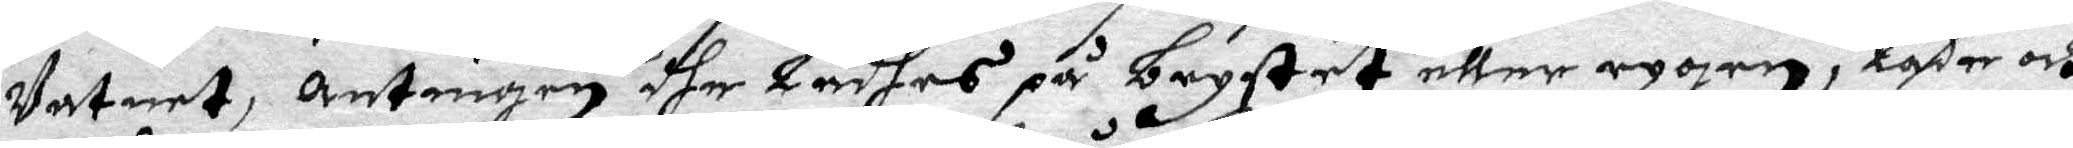Vatnet, antingen dhe Ladhes på brystet eller rygen, lade och
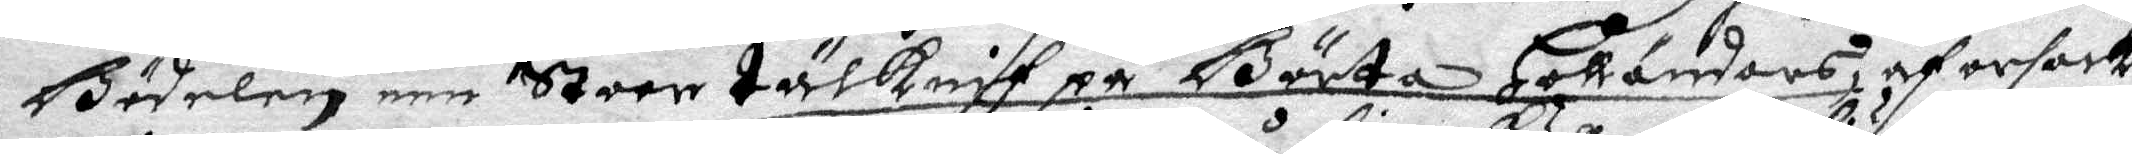Bödelen een Stoor tälknif på Börta Holländars, af orsak
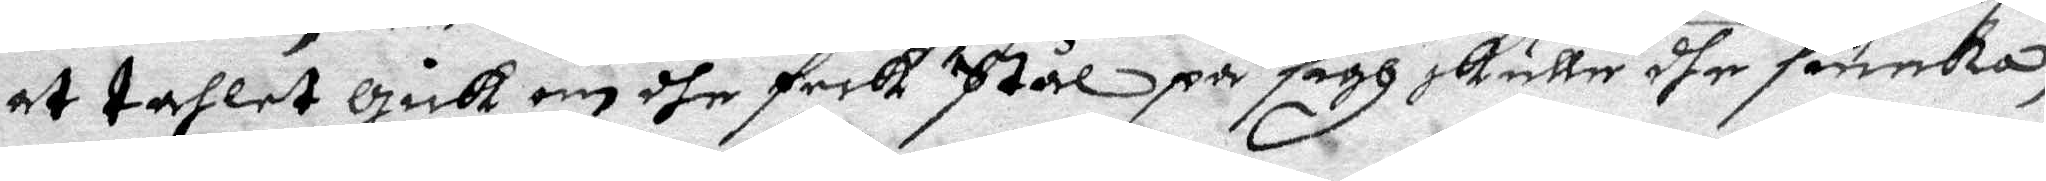at tahlet gick om dhe feck Stål på sigh skulle dhe siunka,
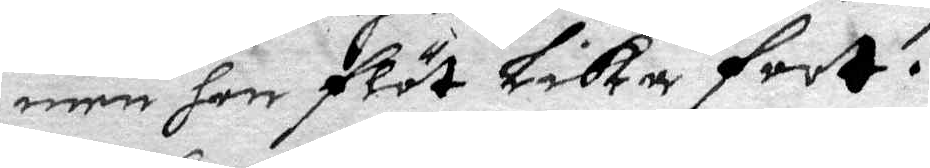men hon flöt Lika fort.
